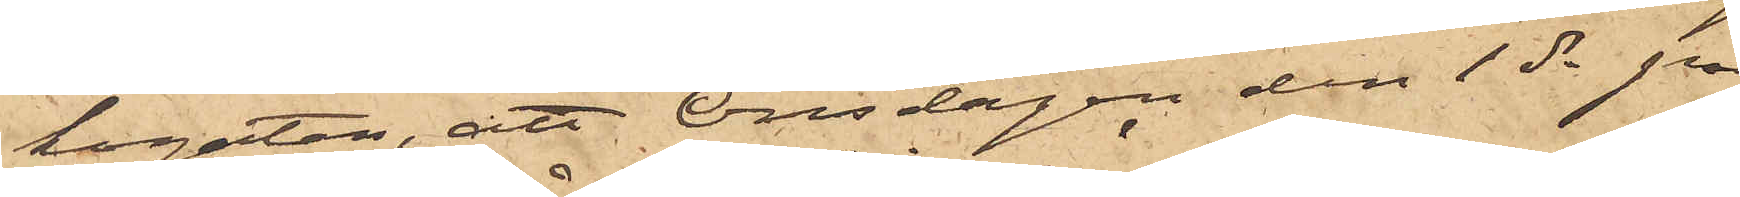kogatan, att Onsdagen den 1 ds på
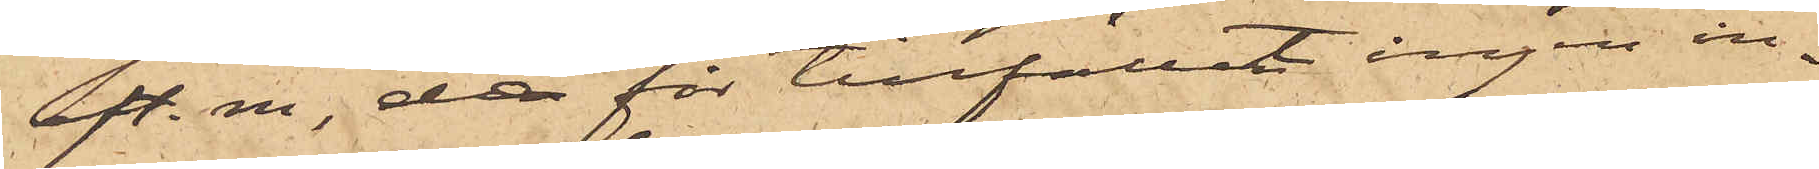eft.m., då för tillfället ingen in¬
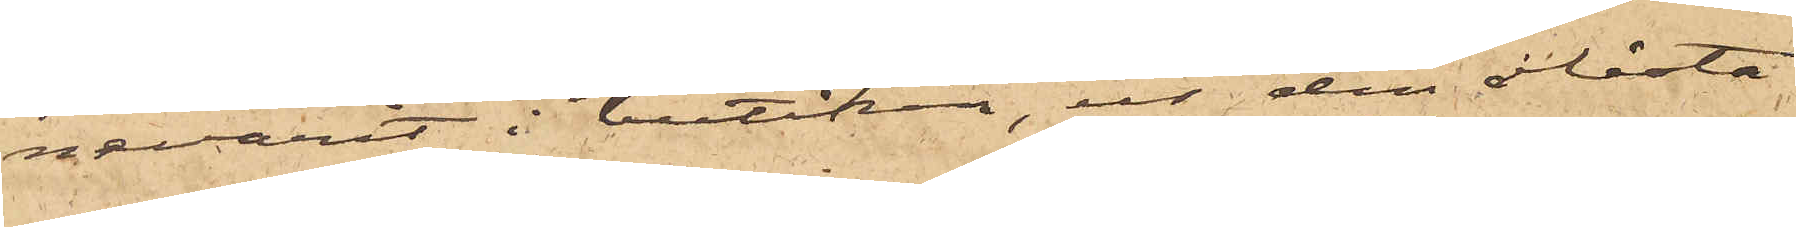nevarit i butiken, ur den olåsta
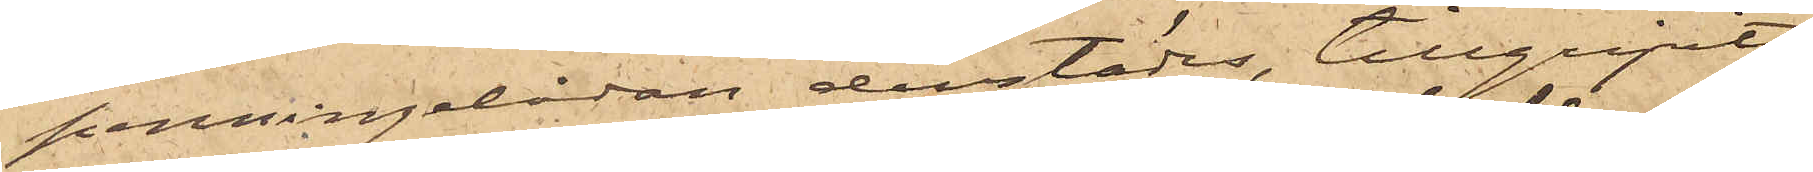penningelådan derstädes, tillgripits
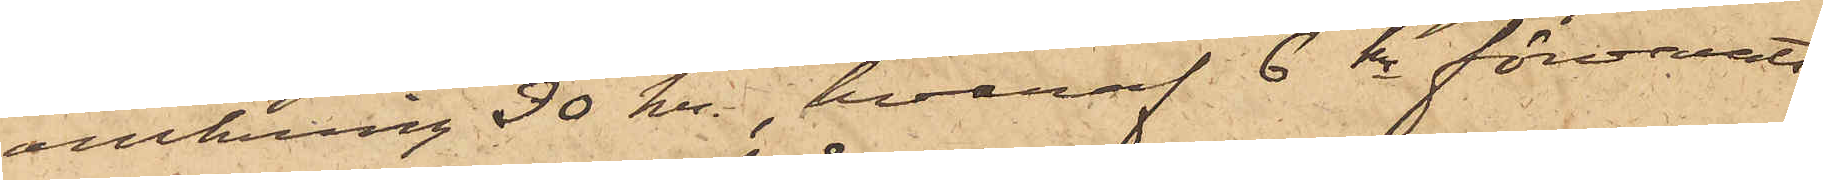omkring 30 kr, hvaraf 6 kr förvarats
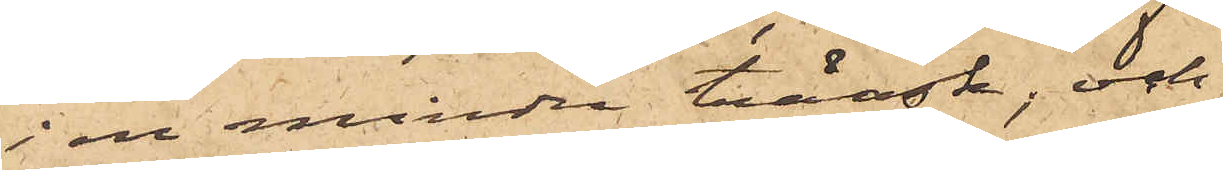i en mindre träask, och
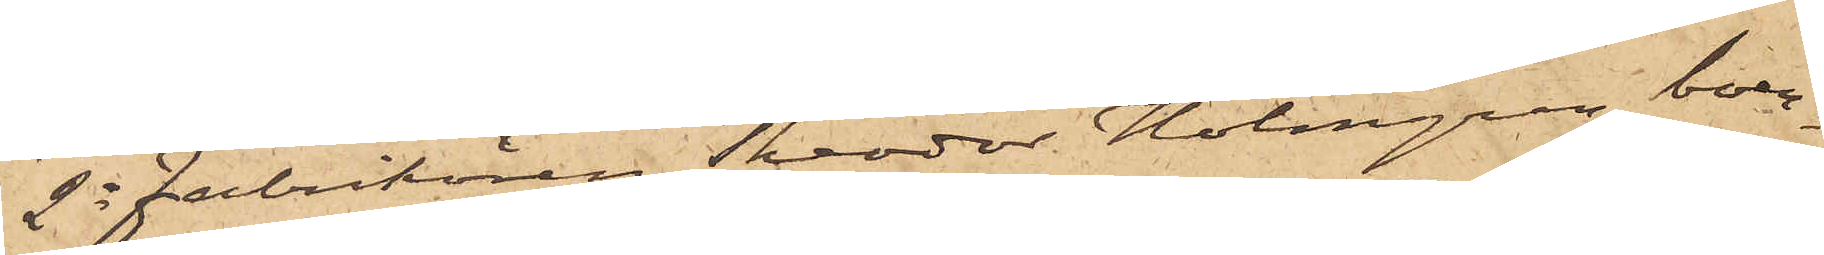2o Fabrikören Theodor Holmgren, boen¬
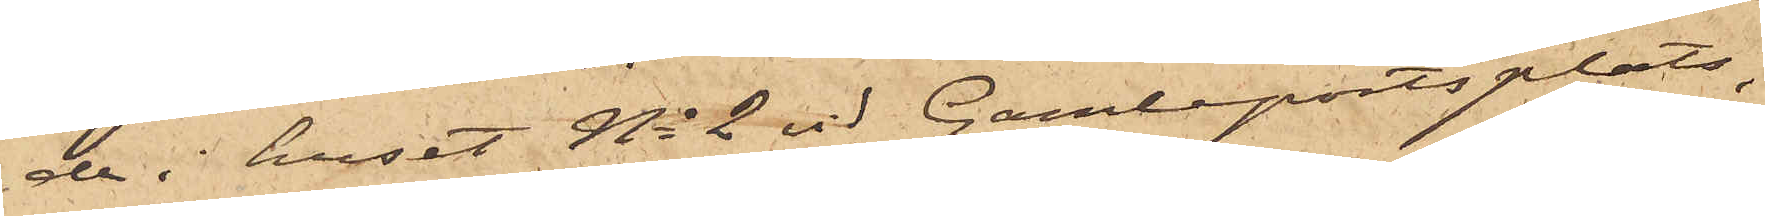de i huset No 2 vid Gamleportsplats,
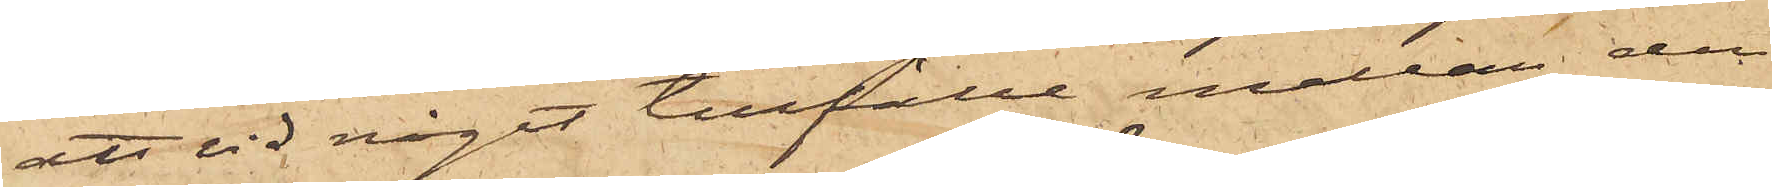att vid något tillfälle mellan den
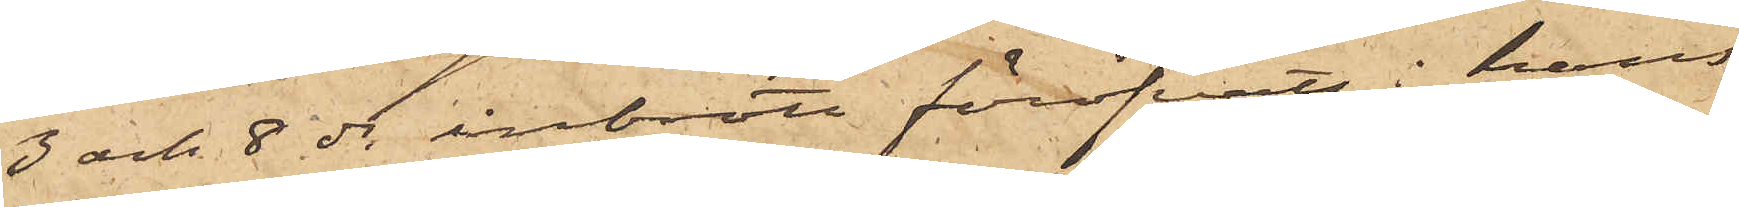3 och 8 ds inbrott föröfvats i hans
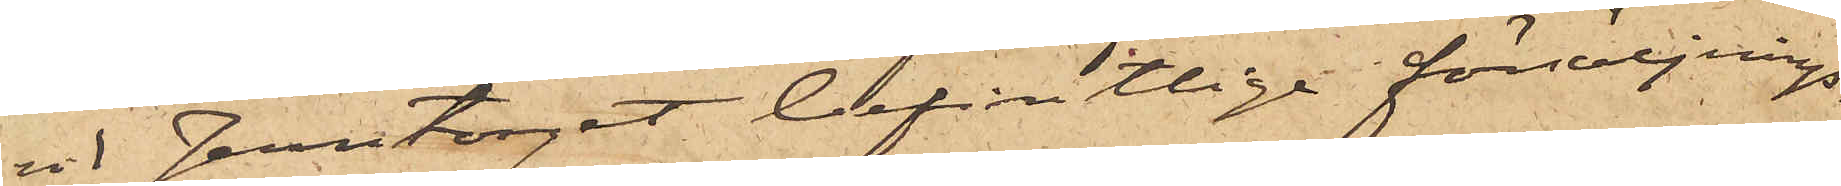vid Jerntorget befintlige försäljnings¬
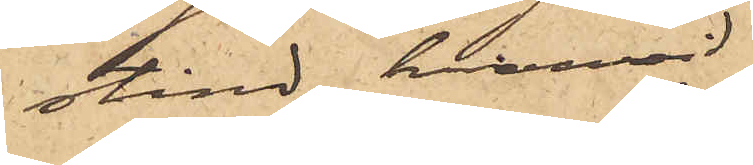stånd, hvarvid
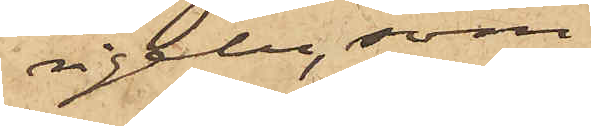rigeln, som
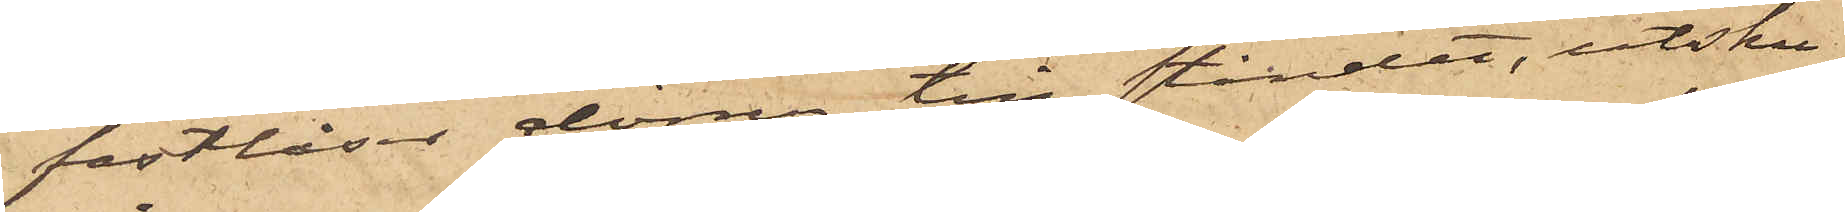fastlåser dörren till ståndet, utsku¬
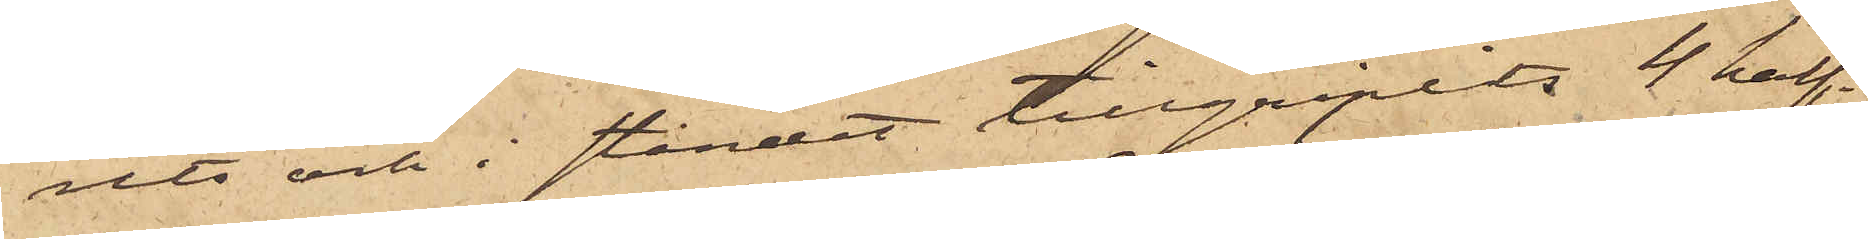rits och i ståndet tillgripits 4 half¬
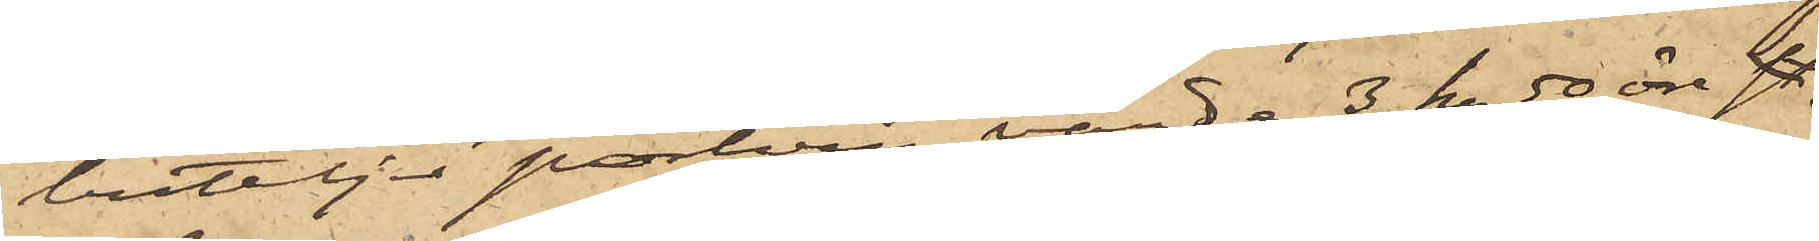buteljer portvin, värde 3 kr 50 öre sty,
